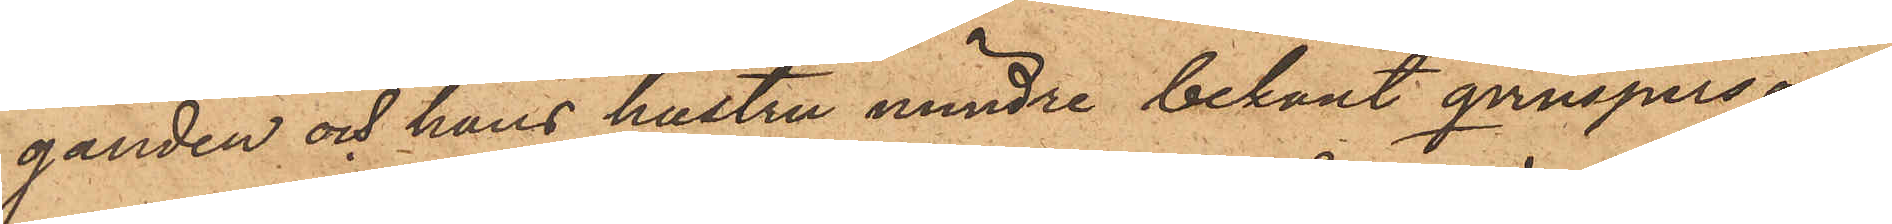ganden och hans hustru mindre bekant qvinsperson,
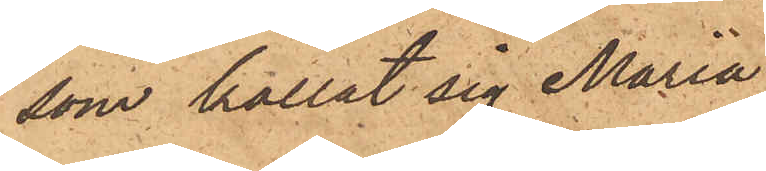som kallat sig Maria
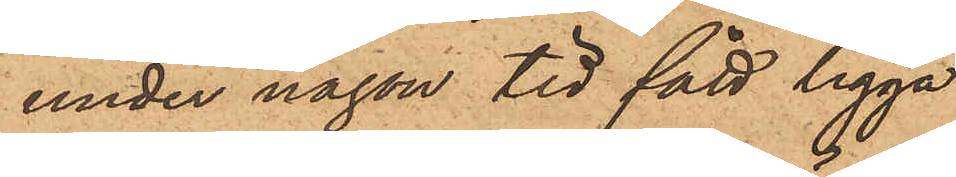under någon tid fått ligga
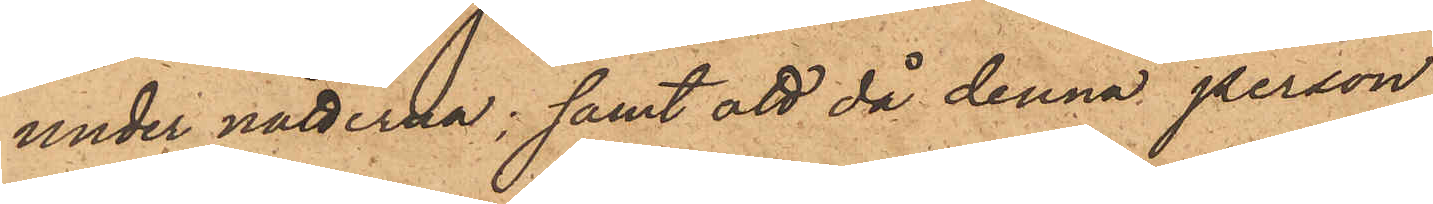under nätterna; samt att då denna person
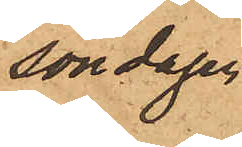söndagen
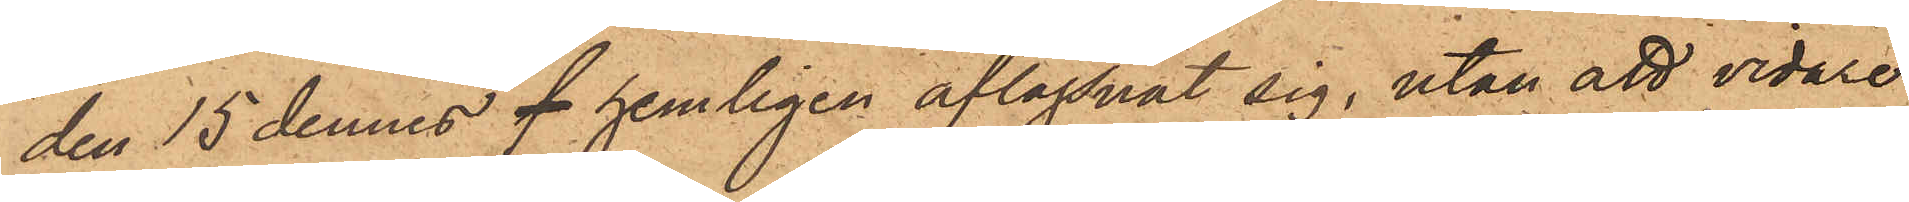den 15 dennes f hemligen aflägsnat sig, utan att vidare
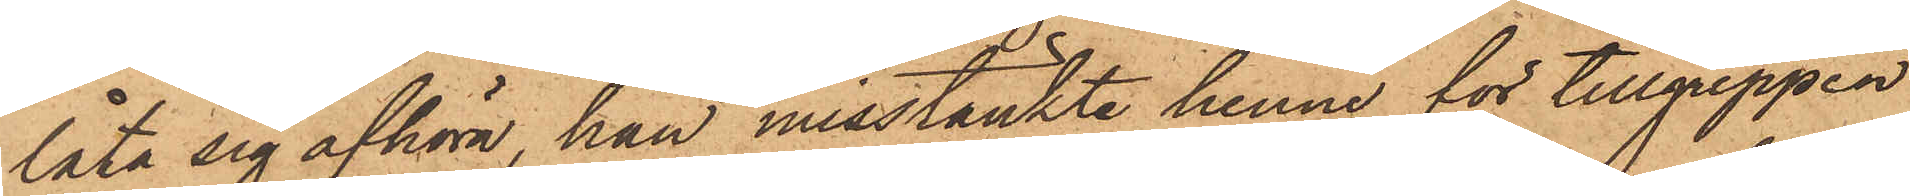låta sig afhöra, han misstänkte henne för tillgreppen
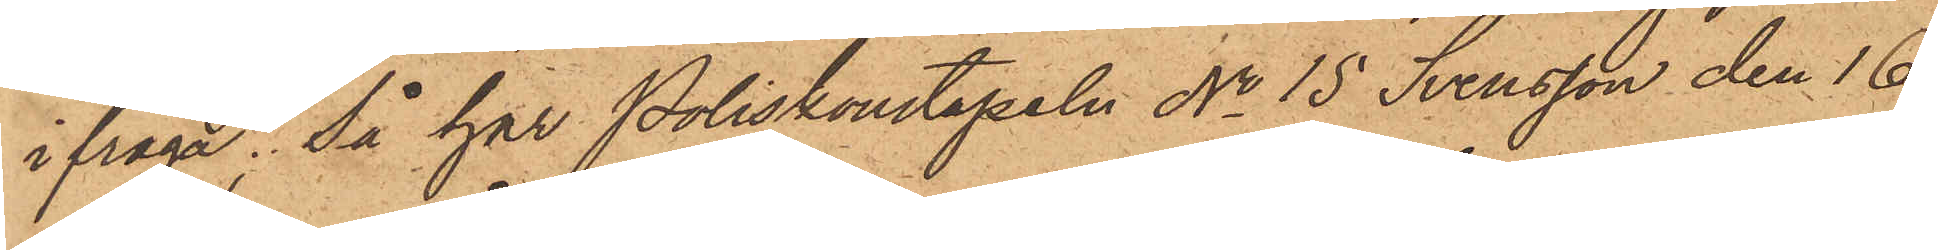ifråga; så har Poliskonstapeln No 15 Svensson den 16
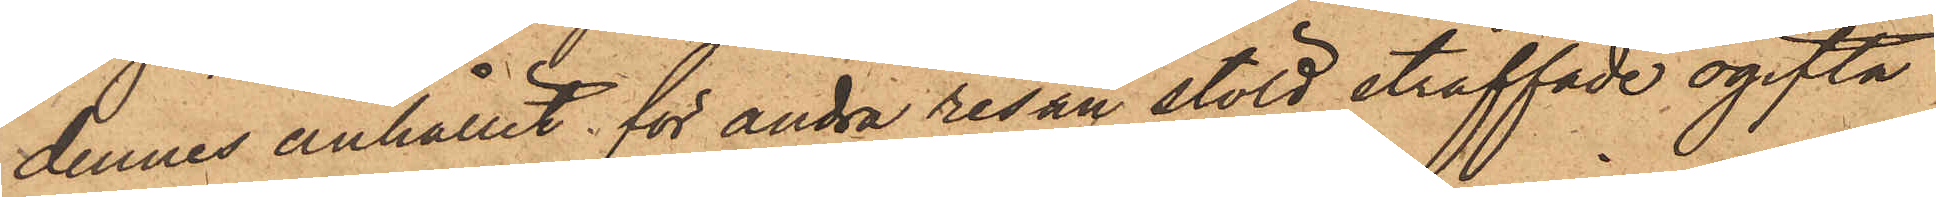dennes anhållit för andra resan stöld straffade ogifta
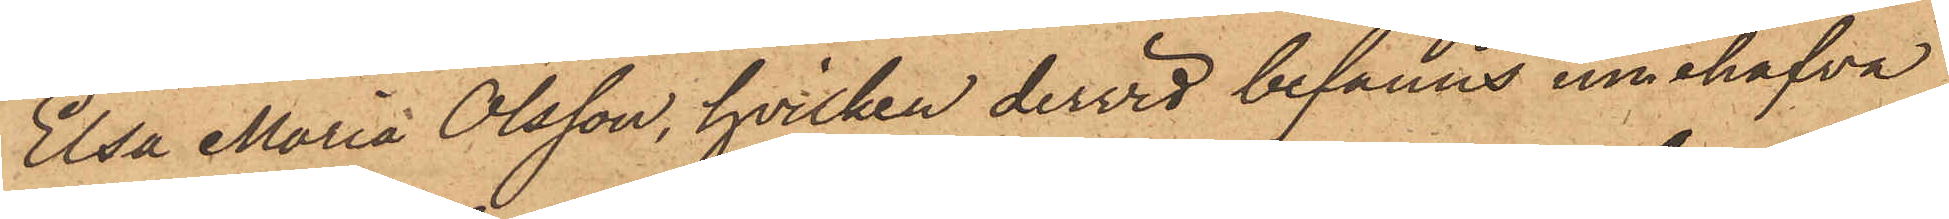Elsa Maria Olsson, hvilken dervid befanns innehafva
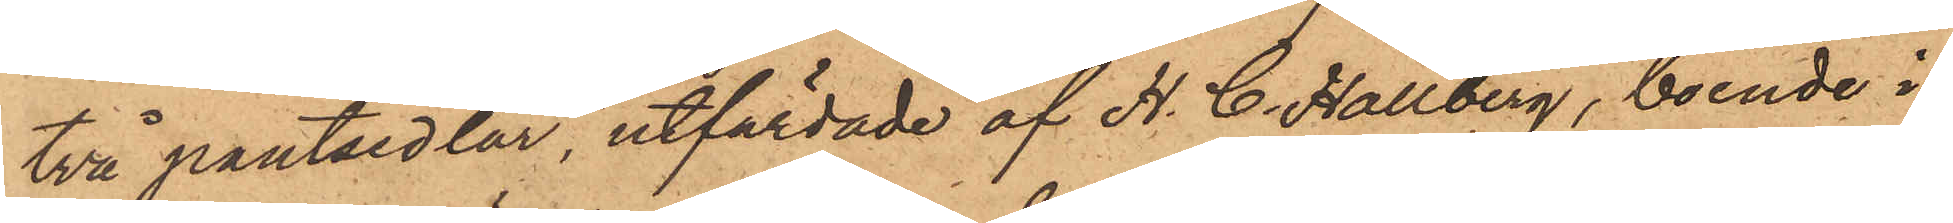två pantsedlar, utfärdade af H. C. Hallberg, boende i
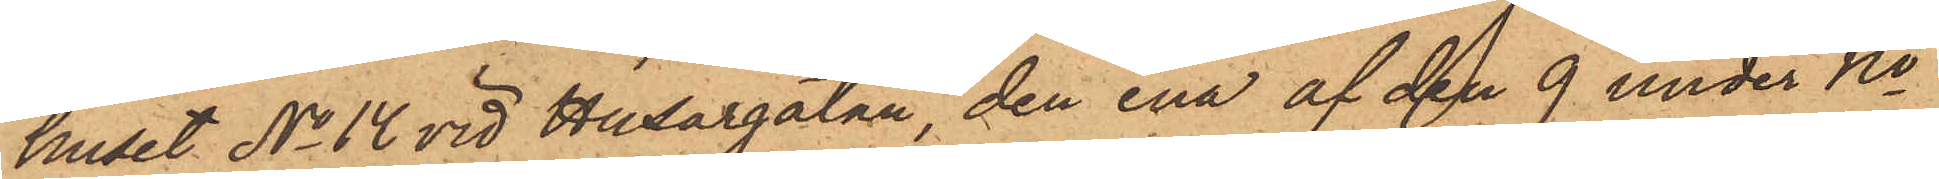huset No 14 vid Husargatan den ena af den 9 under No
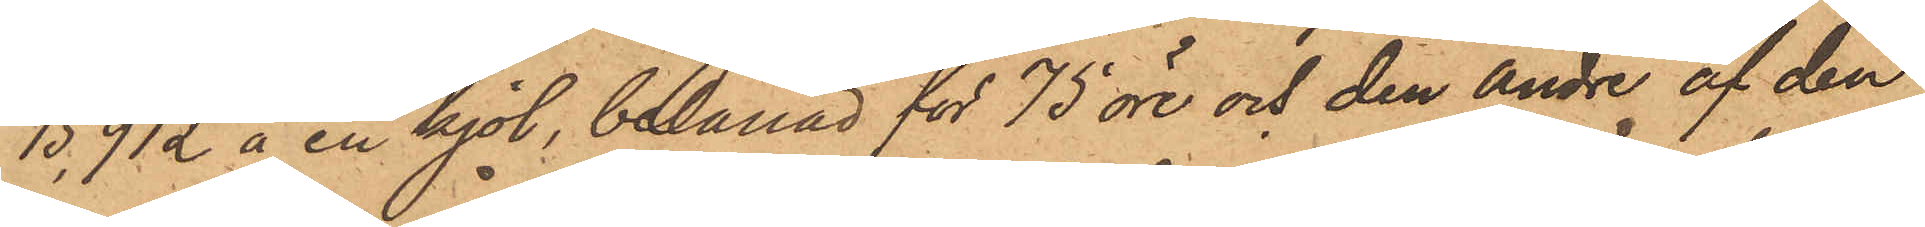15912 å en kjol, belånad för 75 öre och den andre af den
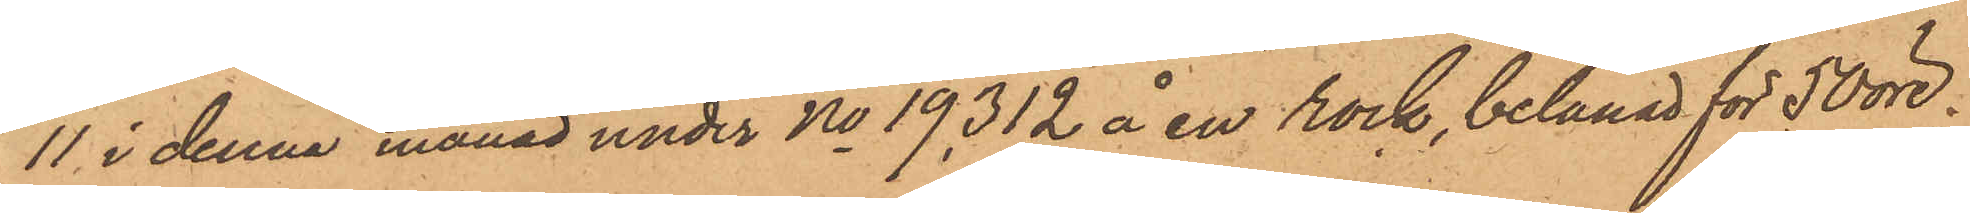11 i denna månad under No 19312 å en rock, belånad för 50 öre.
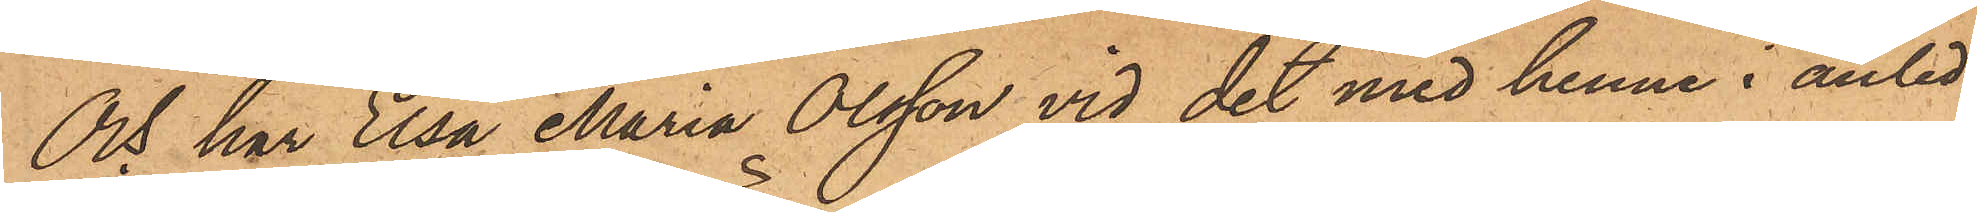Och har Elsa Maria Olsson vid det med henne i anled¬
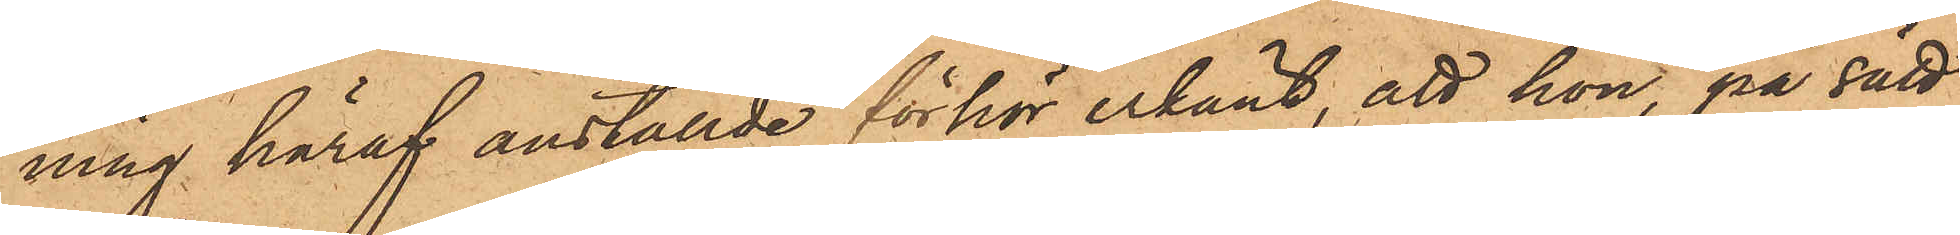ning häraf anställde förhör erkänt, att hon, på sätt
